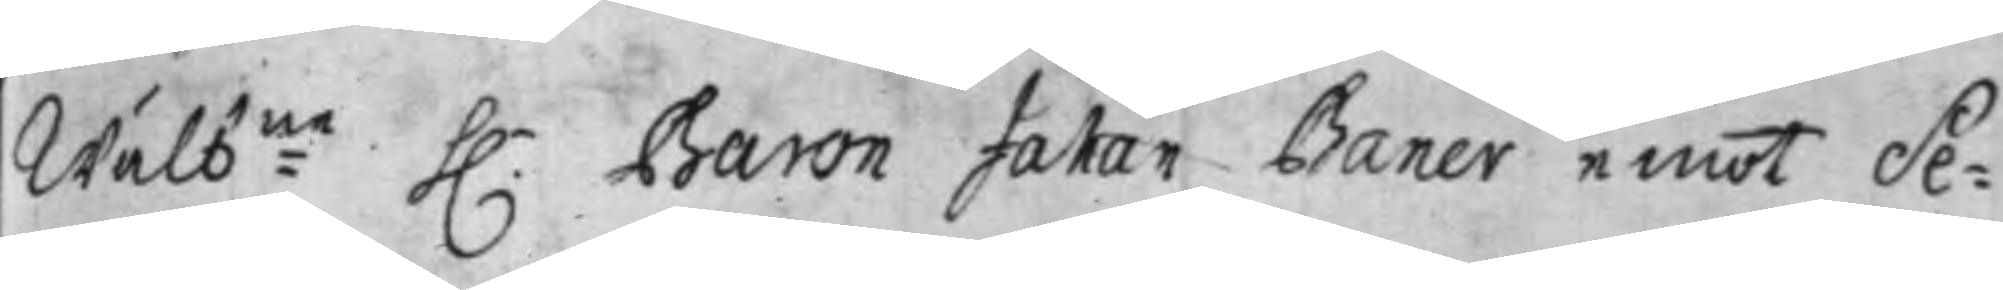Wälb:ne h.r Baron Johan Baner emot Se¬
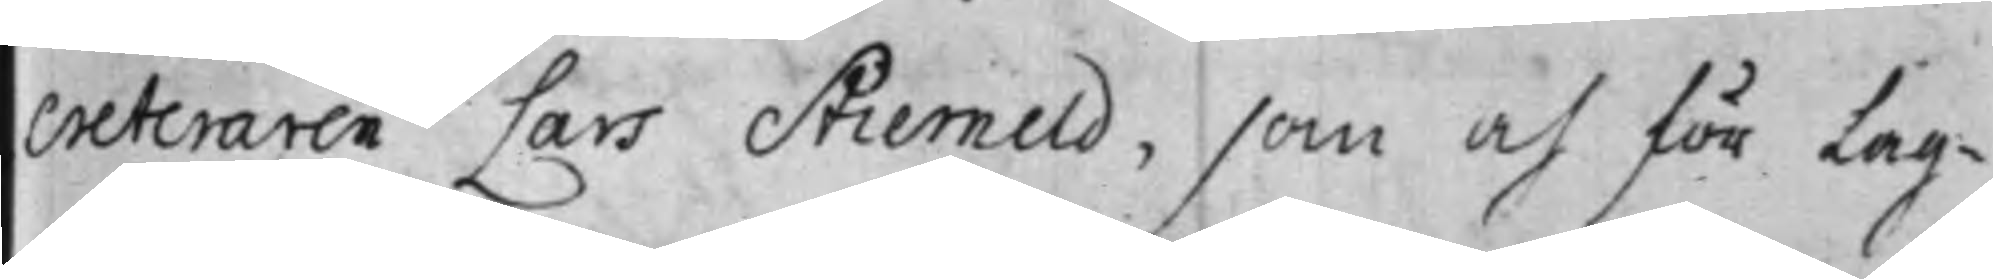creteraren Lars Stierneld, som och för Lag¬
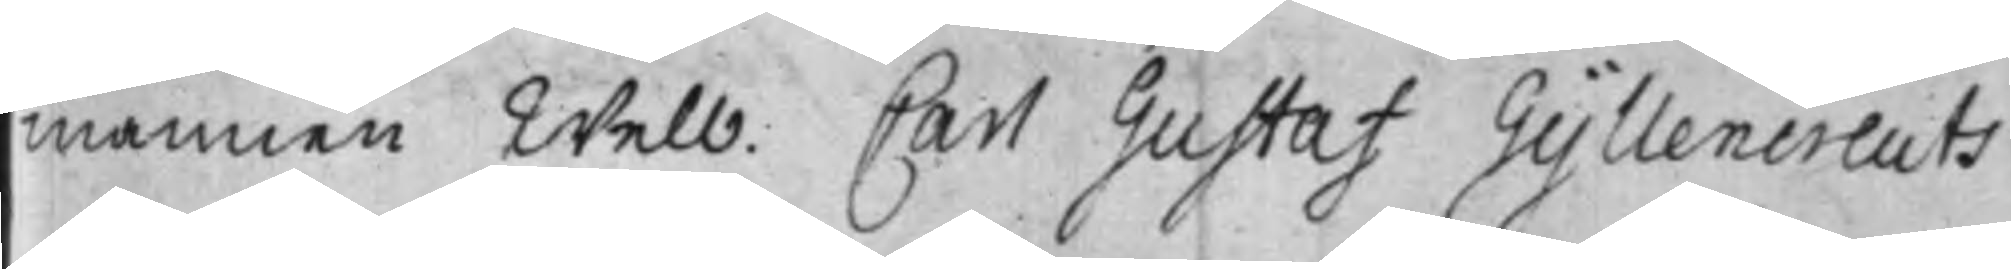mannen Welb: Carl Gustaf Gyllencreuts
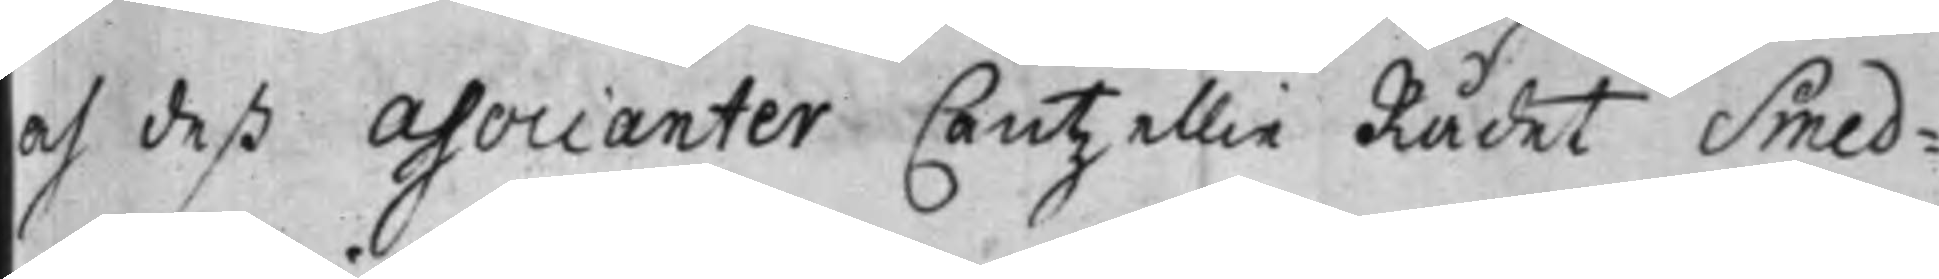och deß Associanter Cantzellie Rådet Smed¬
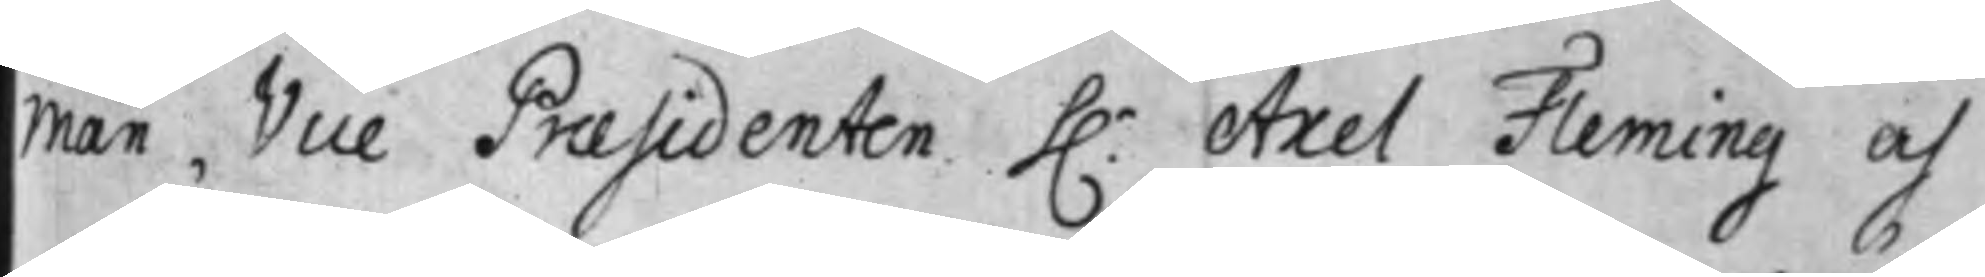man, Vice Praesidenten h.r Axel Fleming och
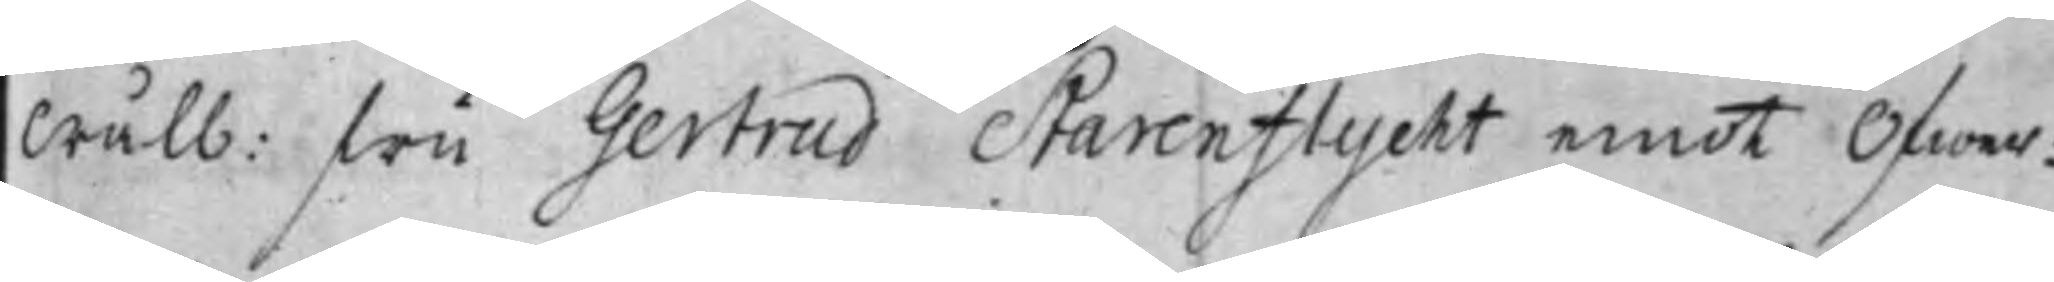Wälb: Fru Gertrud Starenflycht emot Öfwer¬
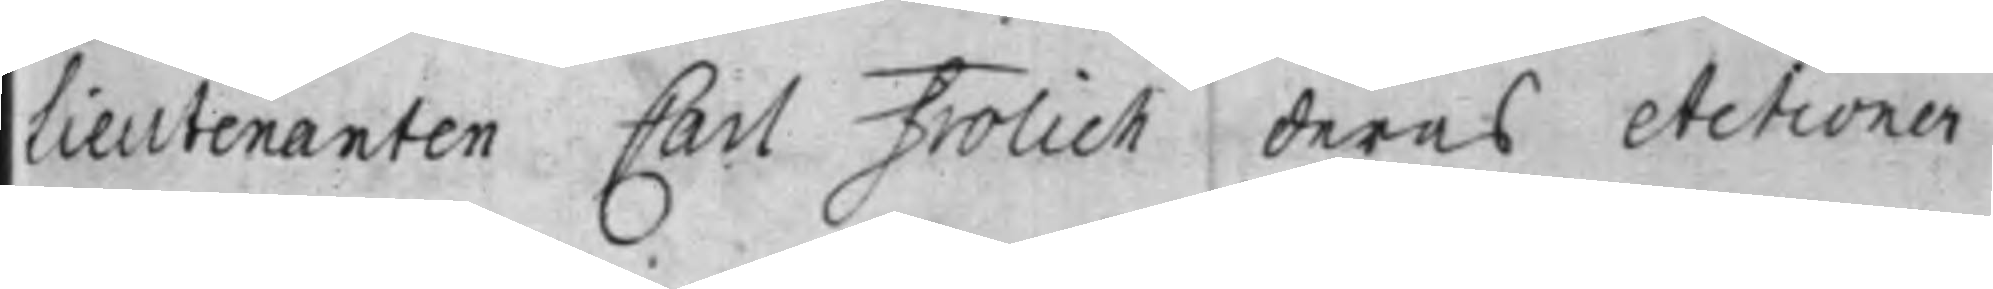lieutenanten Carl Frolich deras Actioner
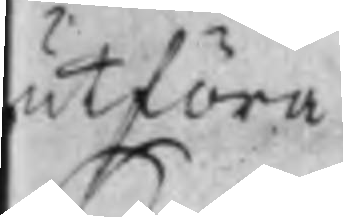utföra.
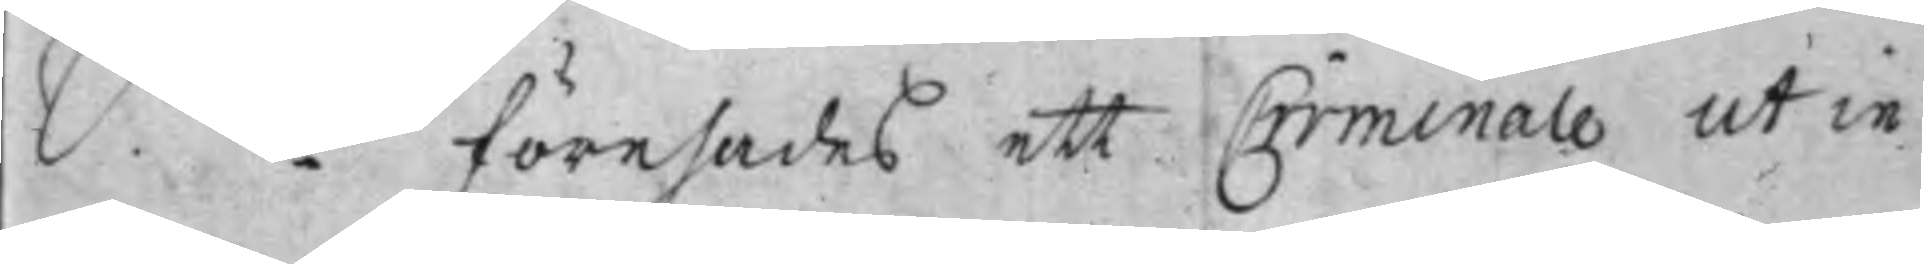S. d: Förehades ett Criminale ut in
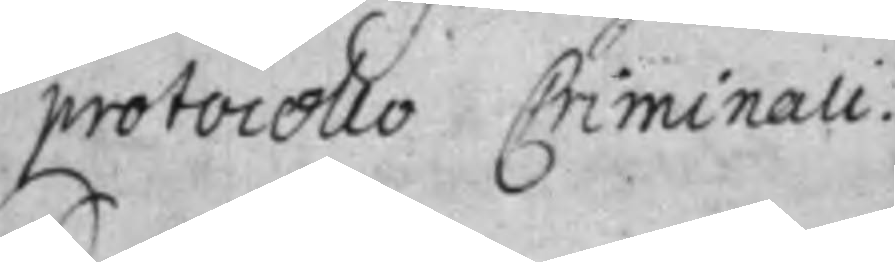protocollo Criminali.
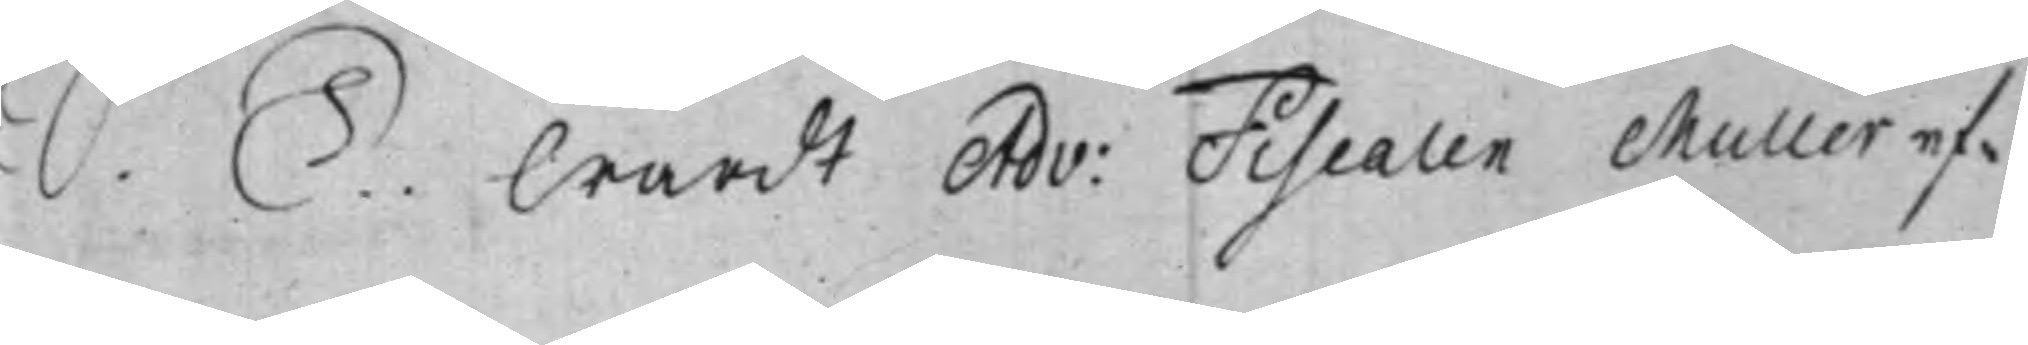S. D. Wardt Adv: Fiscalen Muller ef¬
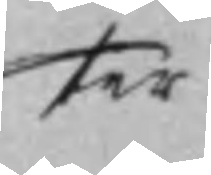ter
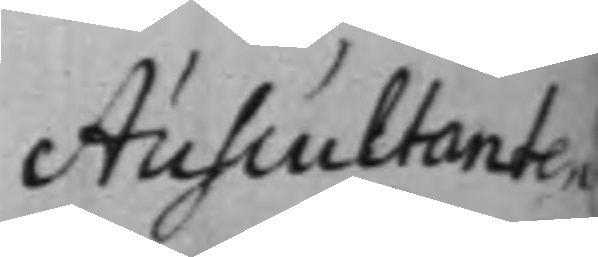Auscultanten
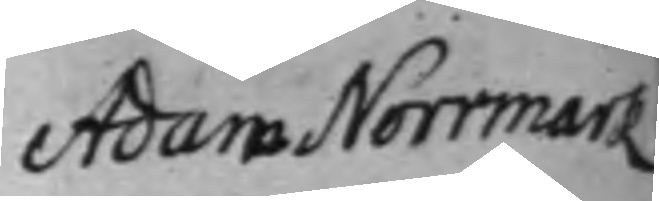Adam Norrmark
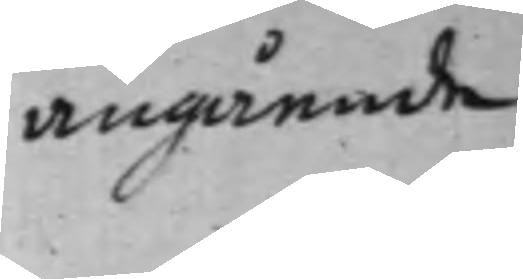angående
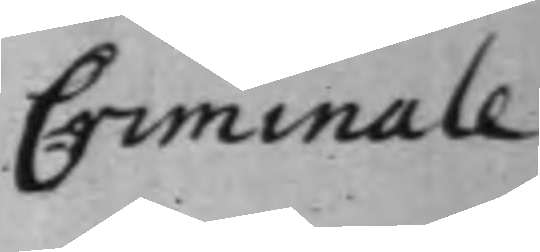Criminale              
